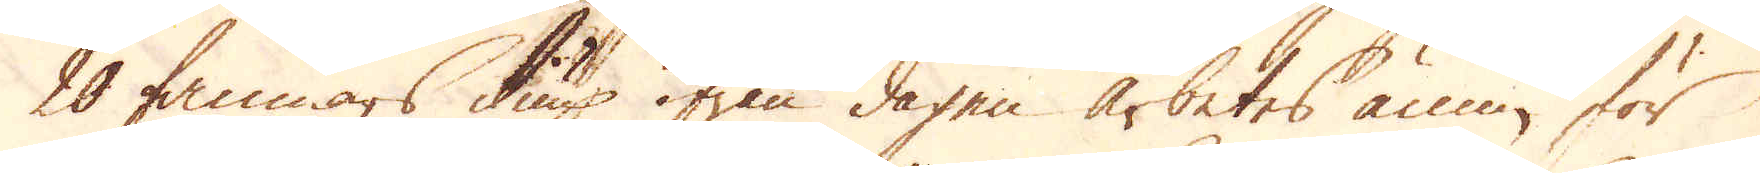20 famnars diup ifrån dagen arbetes ännu för
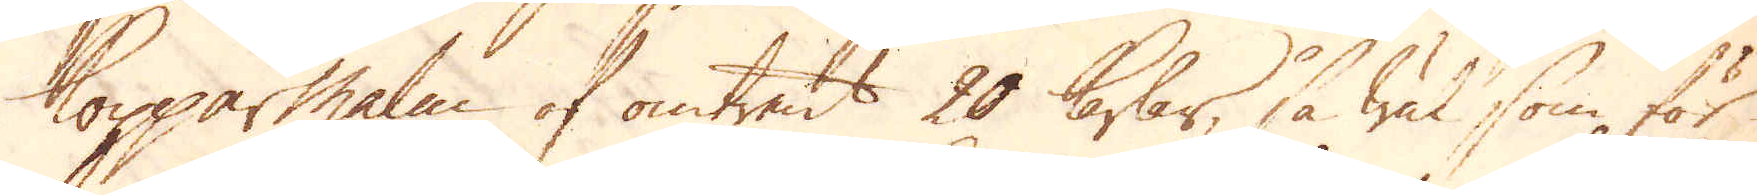Kopparmalm af omtrent 20 karlar, så wäl som för
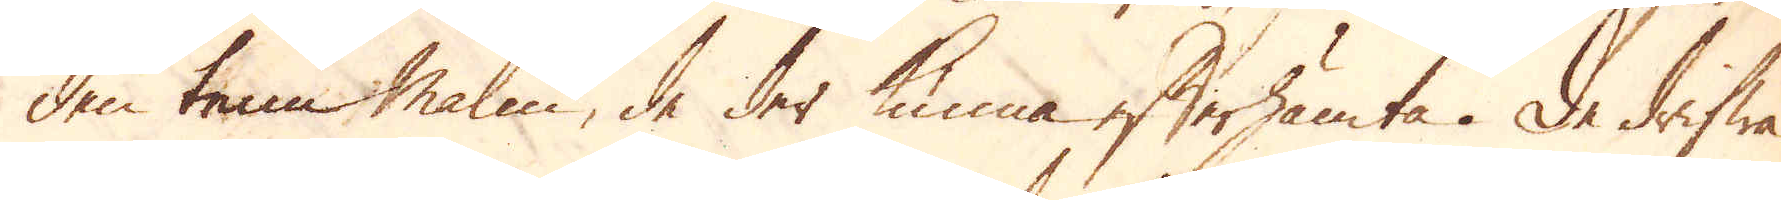den tenn malm, de der kunna efterhämta. De drifwa
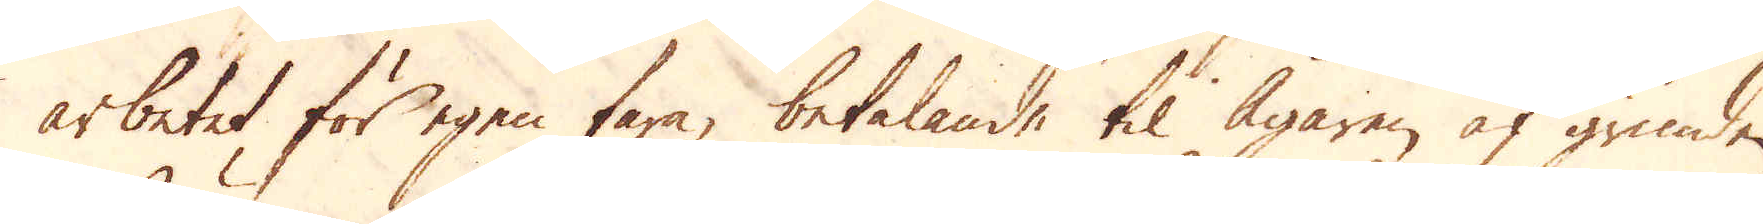arbetet, för egen fara, betalande til Ägaren af grunden,
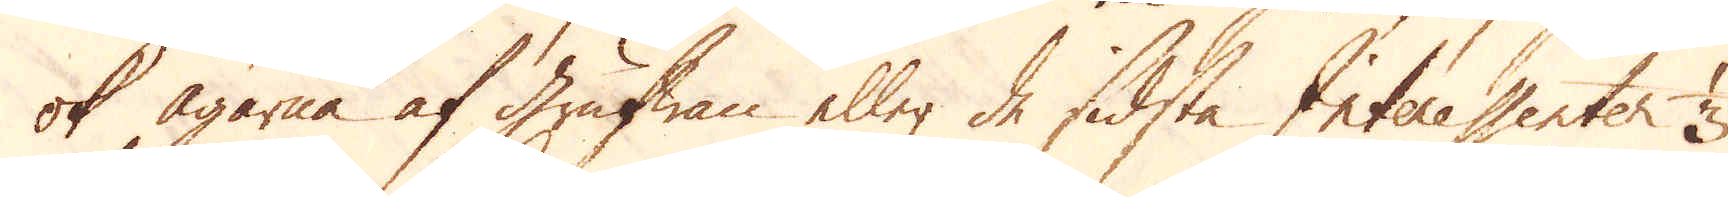ok ägarne af grufwan eller de sidsta Interessenter 1/3
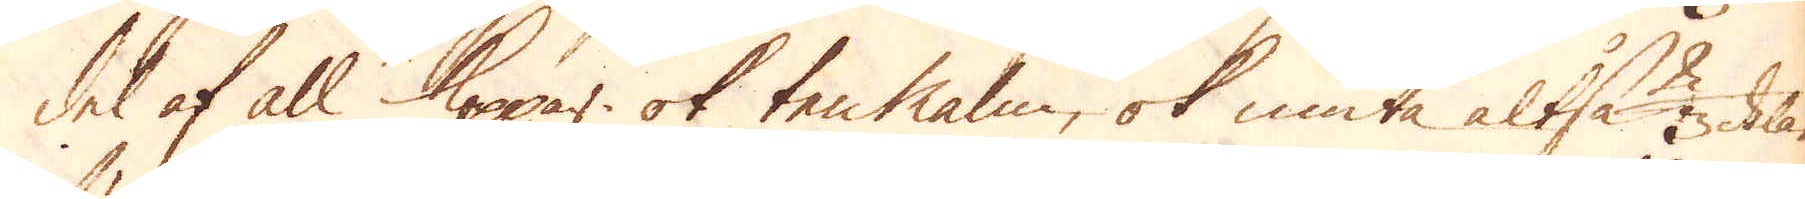del af all Koppar ok ten Malm, ok niuta altså 2/3 delar
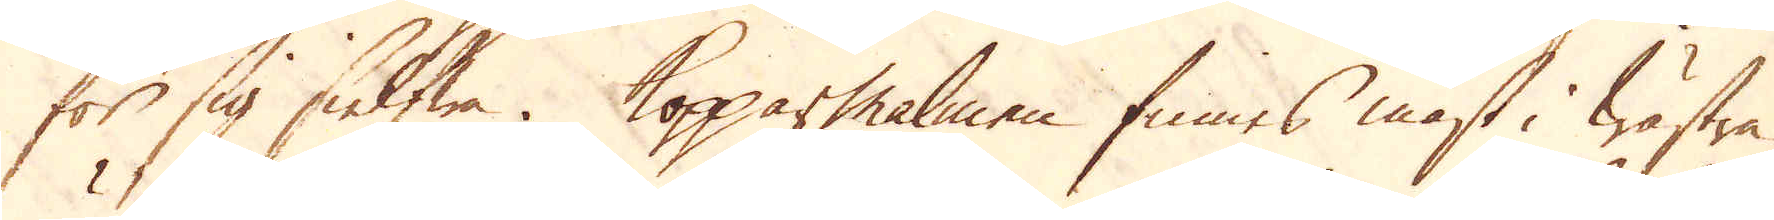för sig sielfwa. Kopparmalmen finnes mäst i wästra
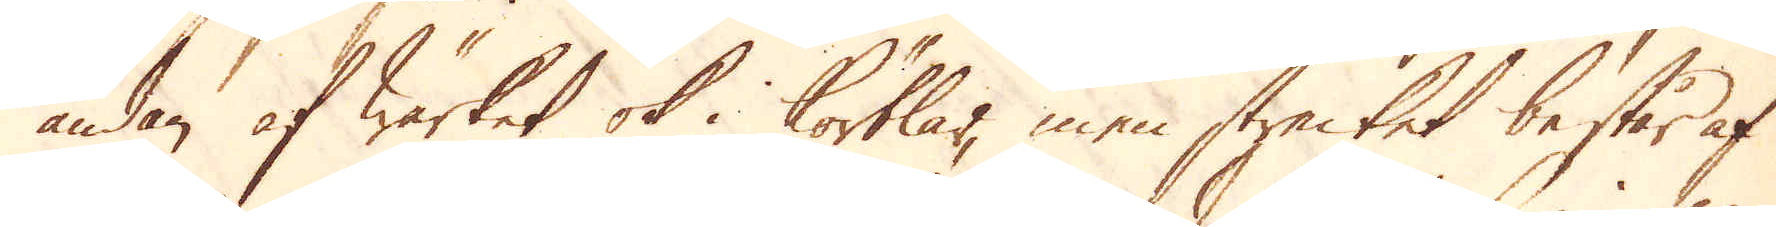ändan af Wärket ok i körtlar, men strecket består af
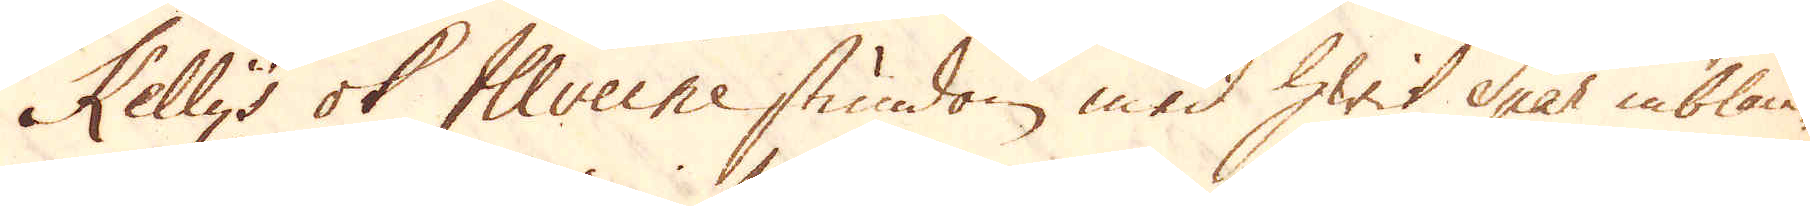Kellys ok Illveine stundom med hwit Spar inblan-
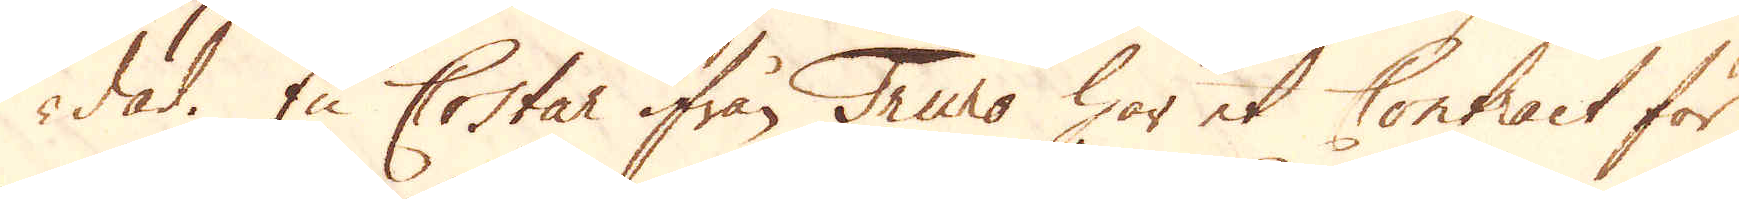dad. En Costar ifrån Truno har et Contract för
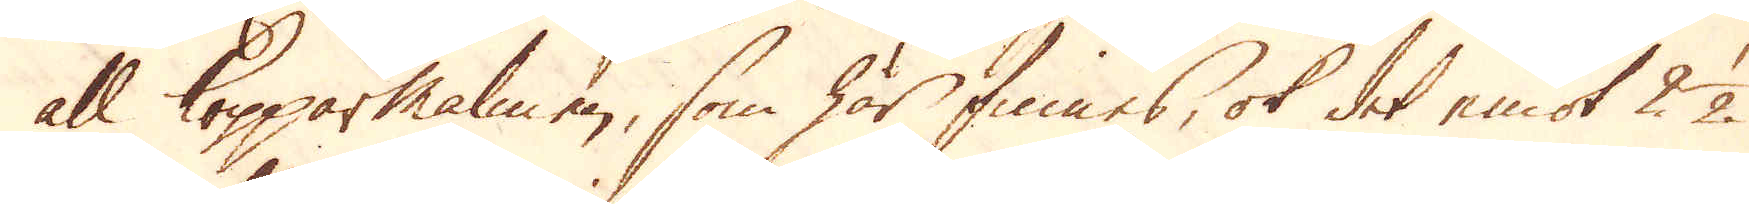all Kopparmalmen, som här finnes, ok det emot 2 1/2
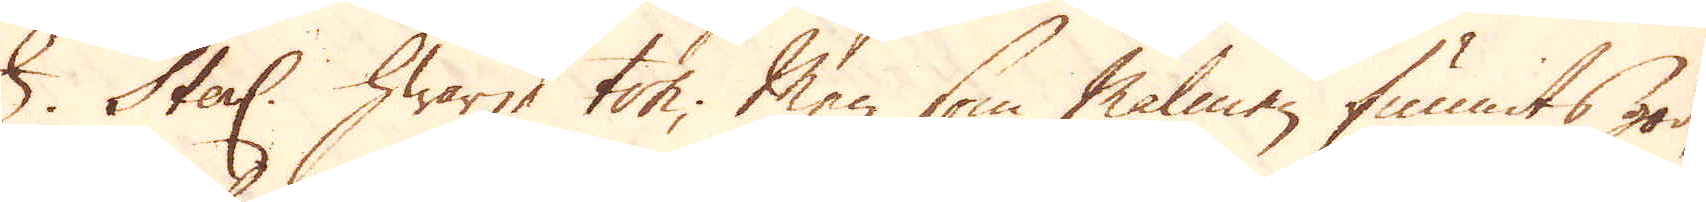£. Sterl. hwarje ton; Men som Malmen funnits god,
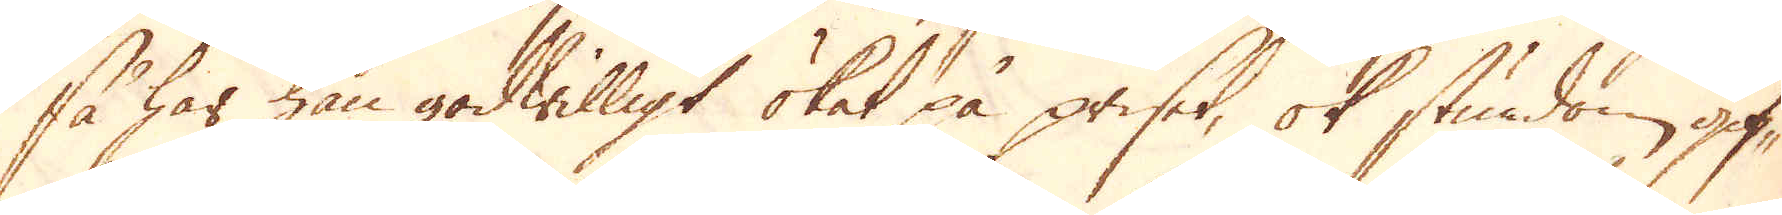så har han godwilligt ökat på priset, ok stundom gif-
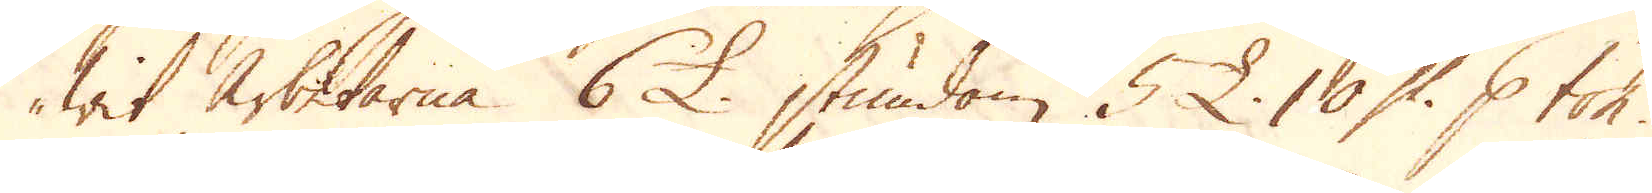wit arbetarna 6 £ stundom 5 £. 10 Sk: p ton.
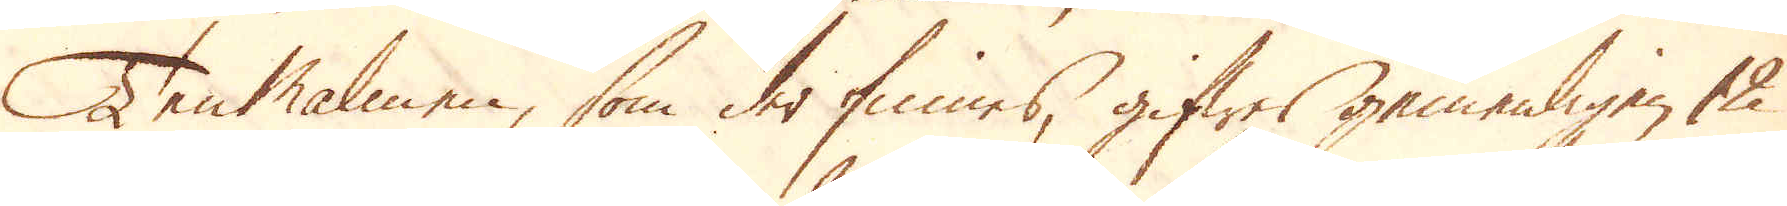Tenmalmen, som der finnes, gifwes gemenligen 12
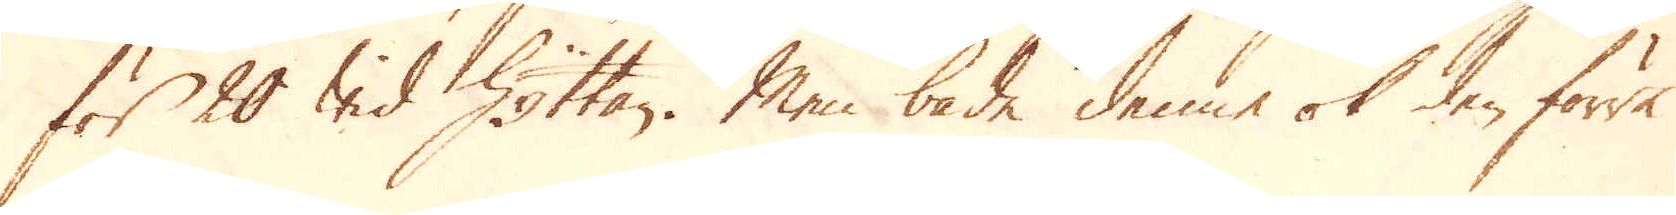för 20 wid Hyttan. Men både denne ok den förre
